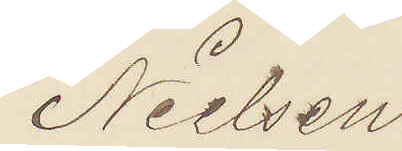Nielsen.
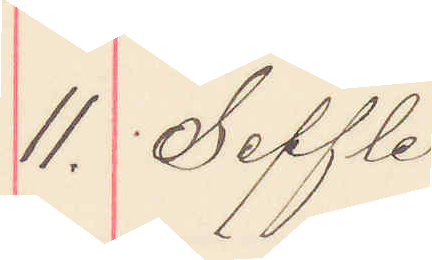11. Seffle
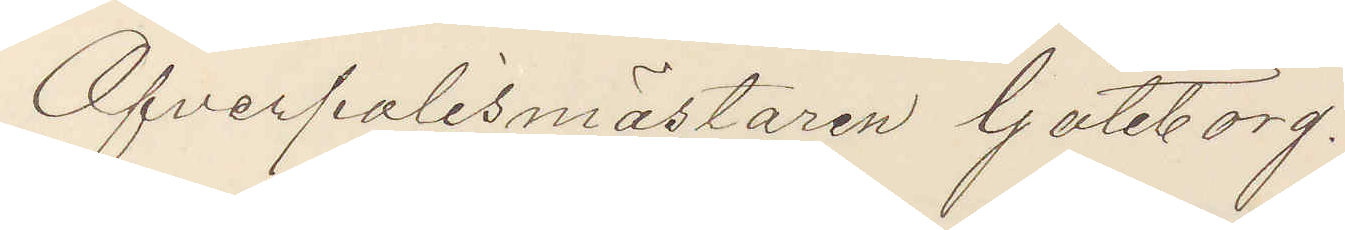Öfverpolismästaren Göteborg.
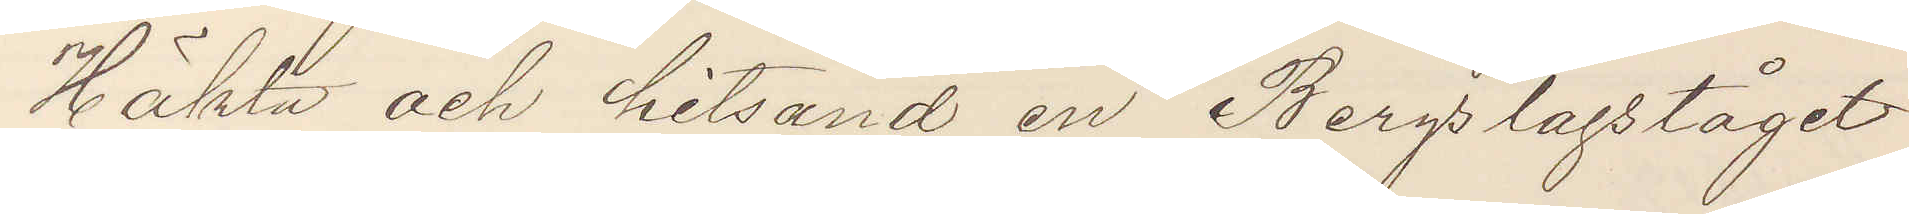Häkta och hitsänd en Bergsslagståget
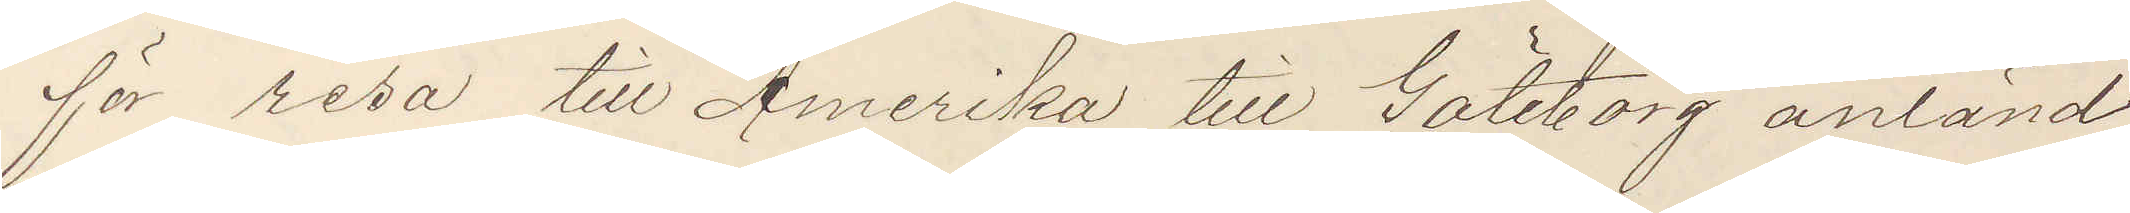för resa till Amerika till Göteborg anländ
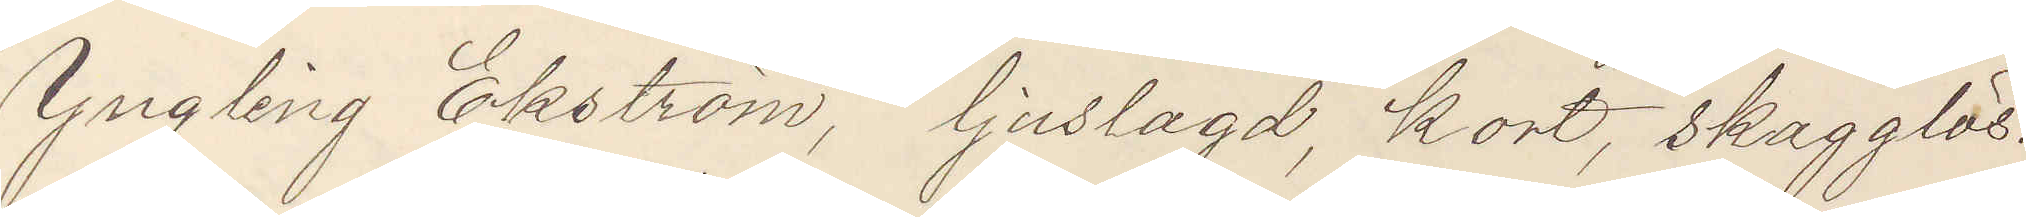Yngling Ekström, ljuslagd, kort, skägglös.
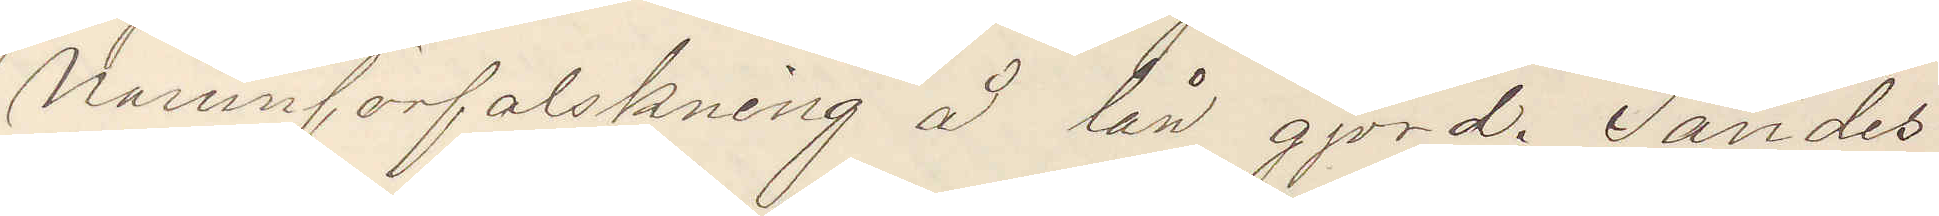Namnförfalskning å lån gjord. Sändes
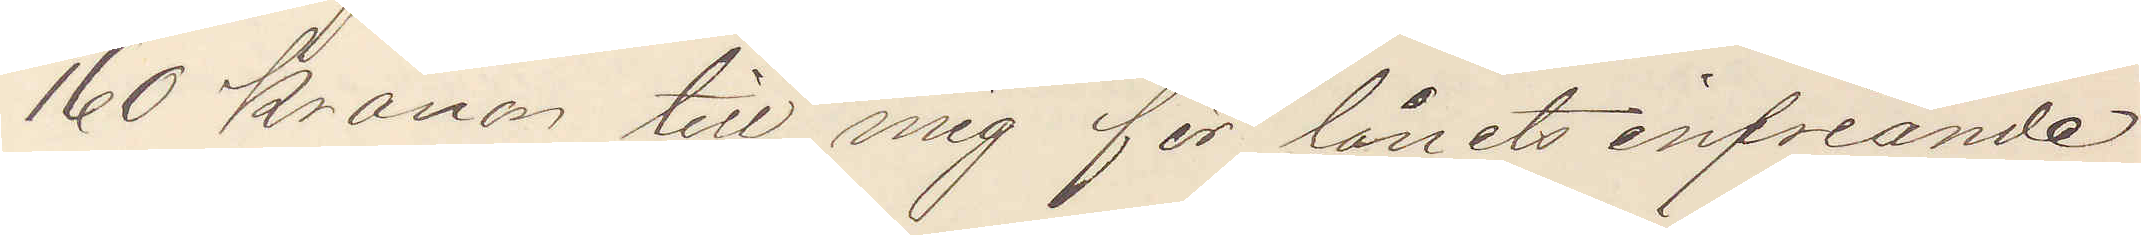160 kronor till mig för lånets infriande
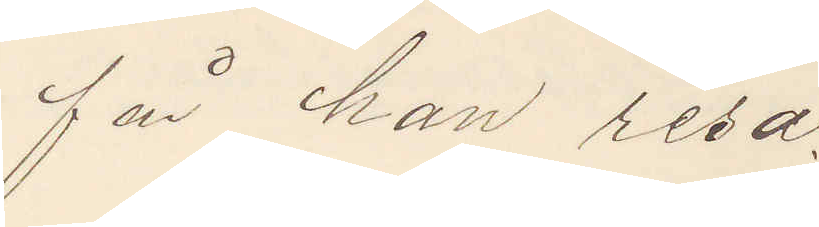får han resa.
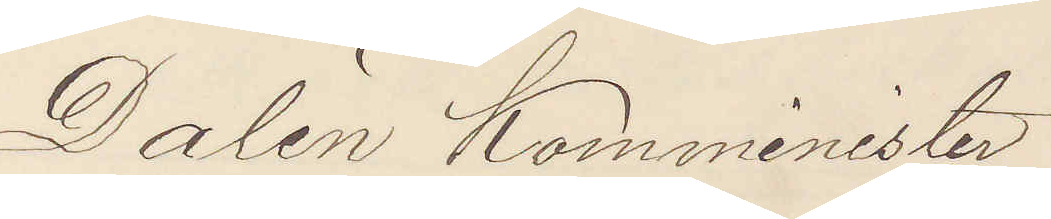Dalén Komminister
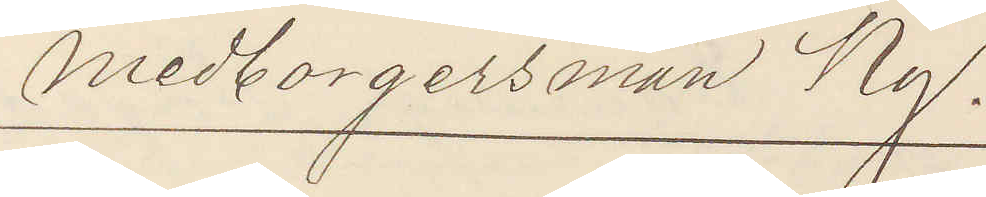Medborgersman Ny.
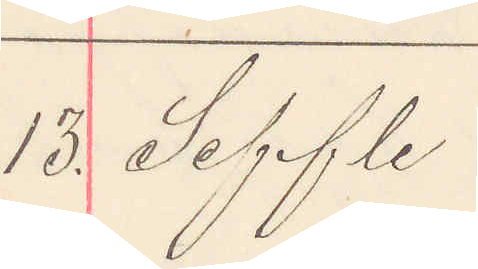13. Seffle
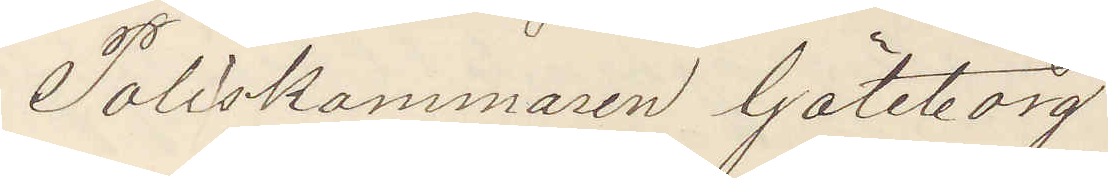Poliskammaren Göteborg
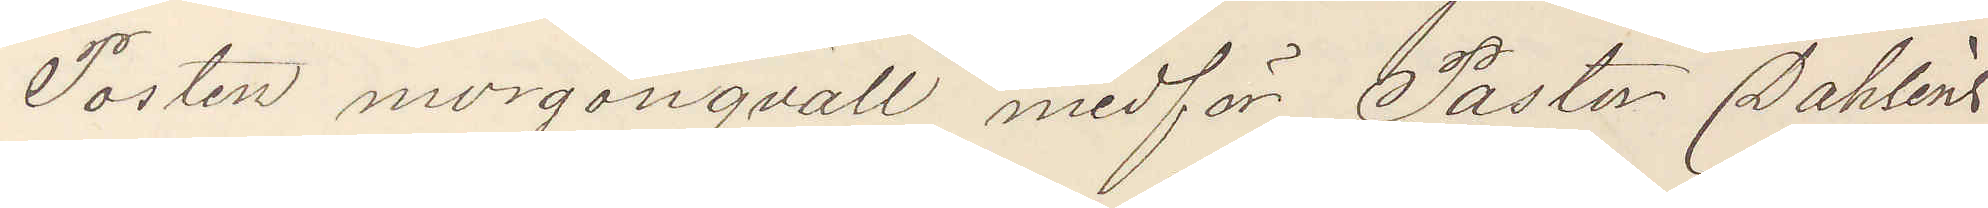Posten morgonqväll medför Pastor Dahléns
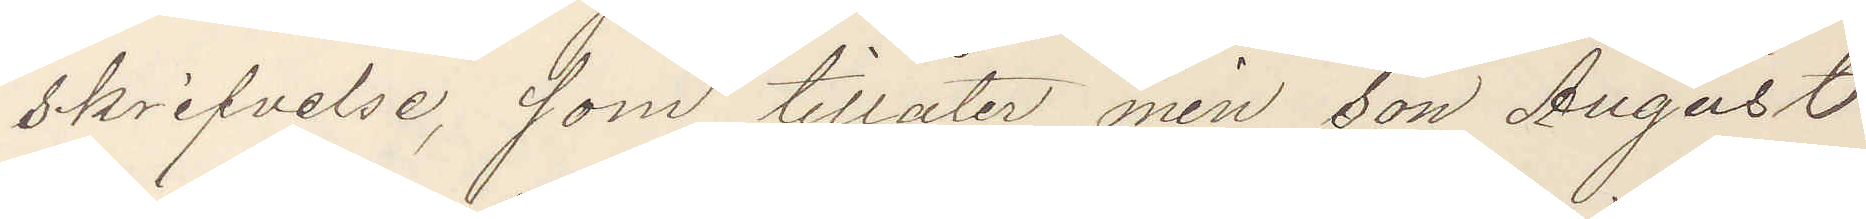skrifvelse, som tillåter min son August
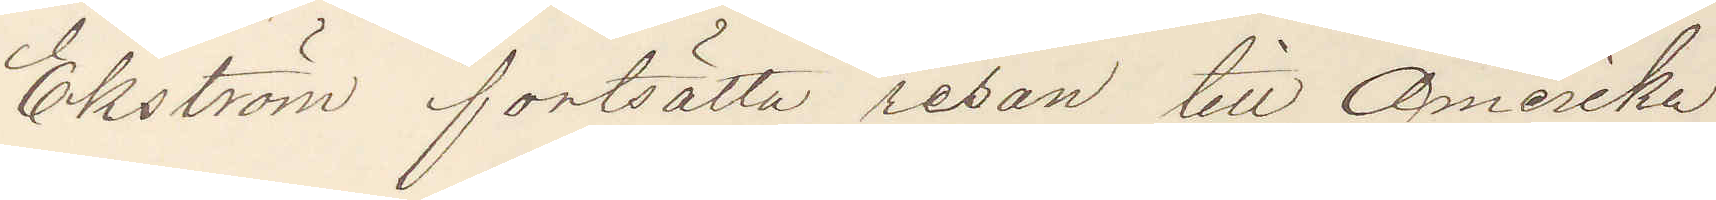Ekström fortsätta resan till Amerika.
